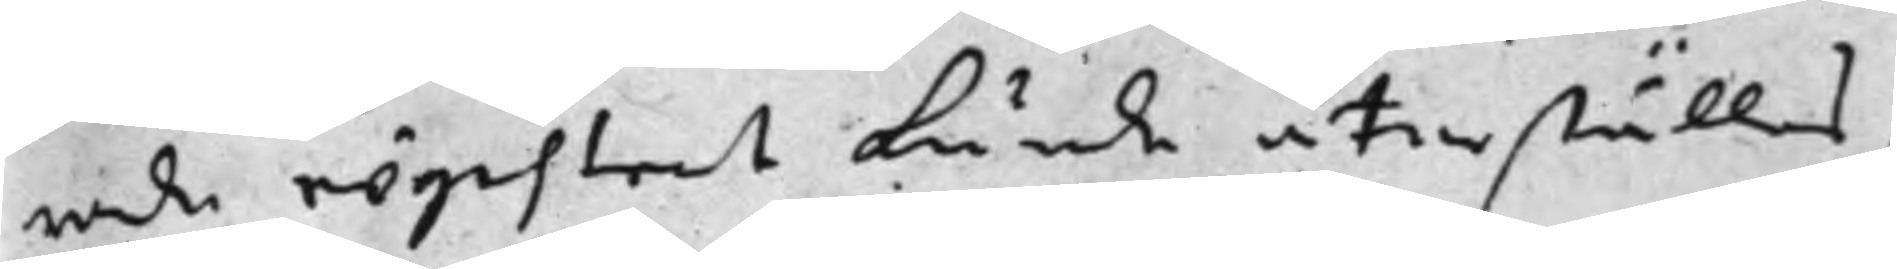rade registret kunde återställas,
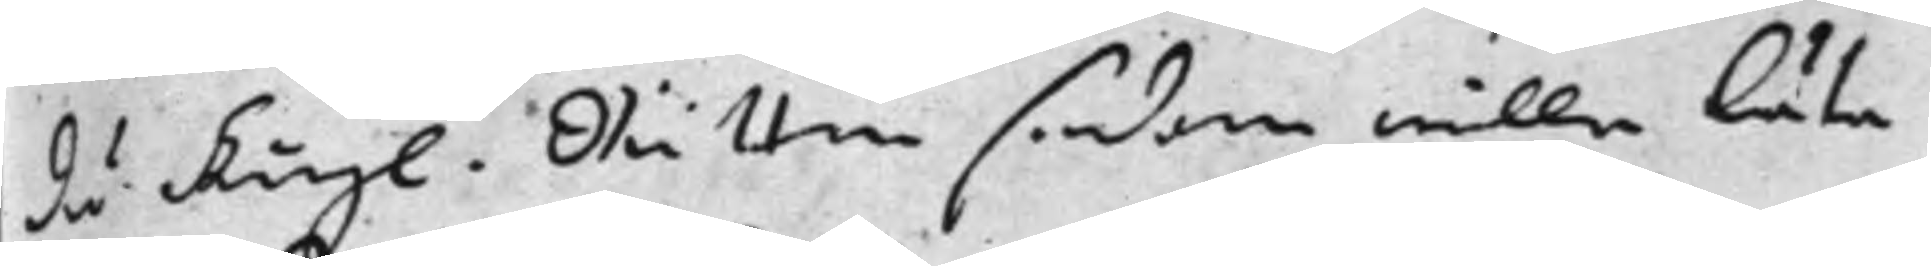då Kongl. Rätten sedan wille Låta
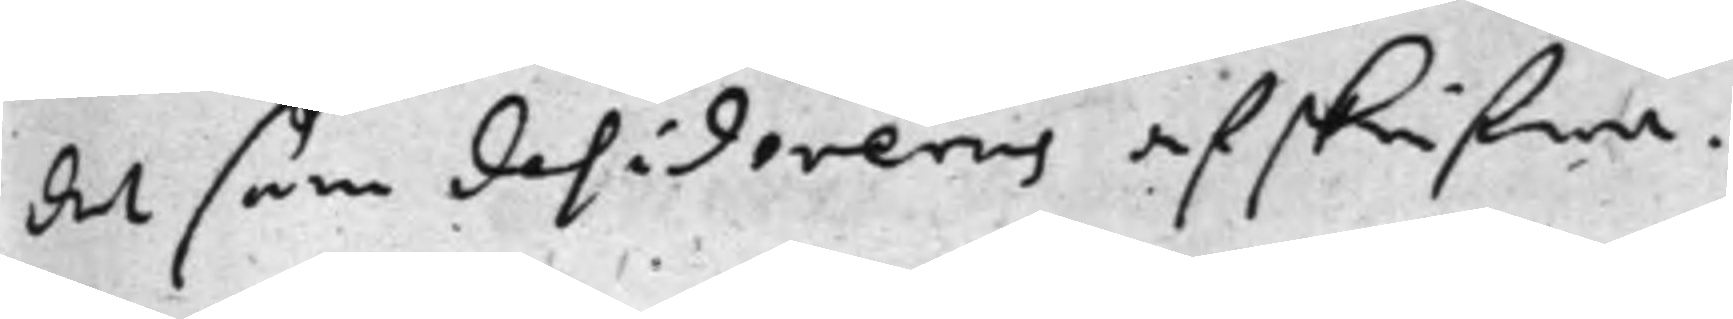det som desidereras afskrifwa.
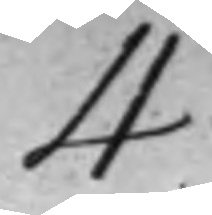4
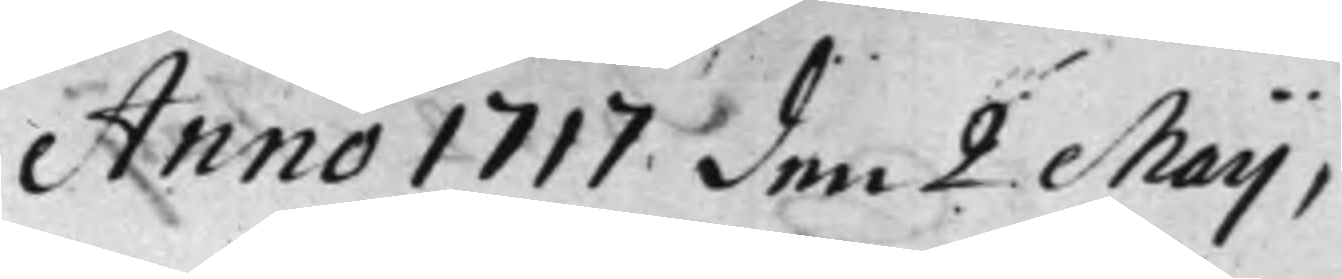Anno 1717 den 2 Maij,
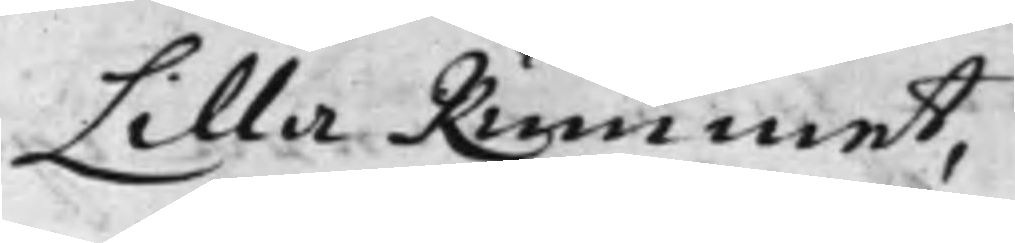Lilla Rummet,
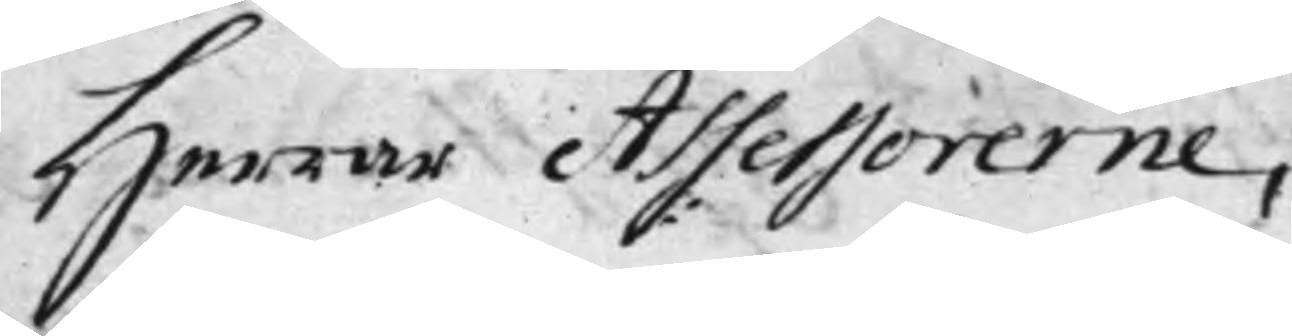Herrar Assessorerne,
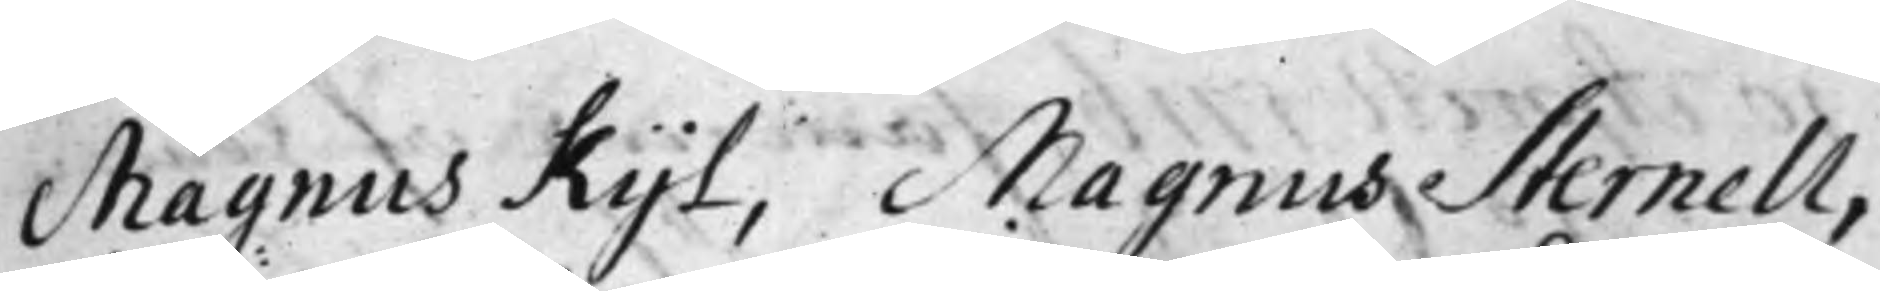Magnus Kijl, Magnus Sternell,
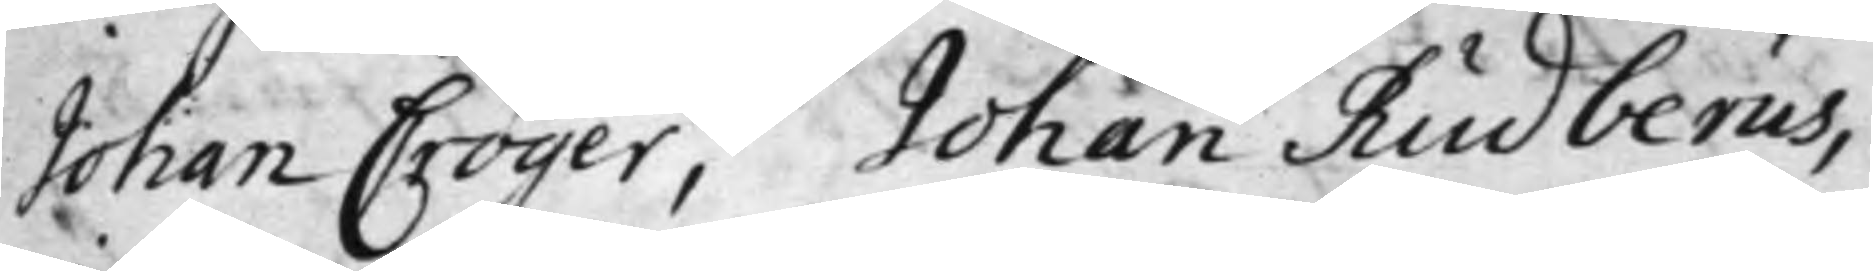Johan Cröger, Johan Rudberus,
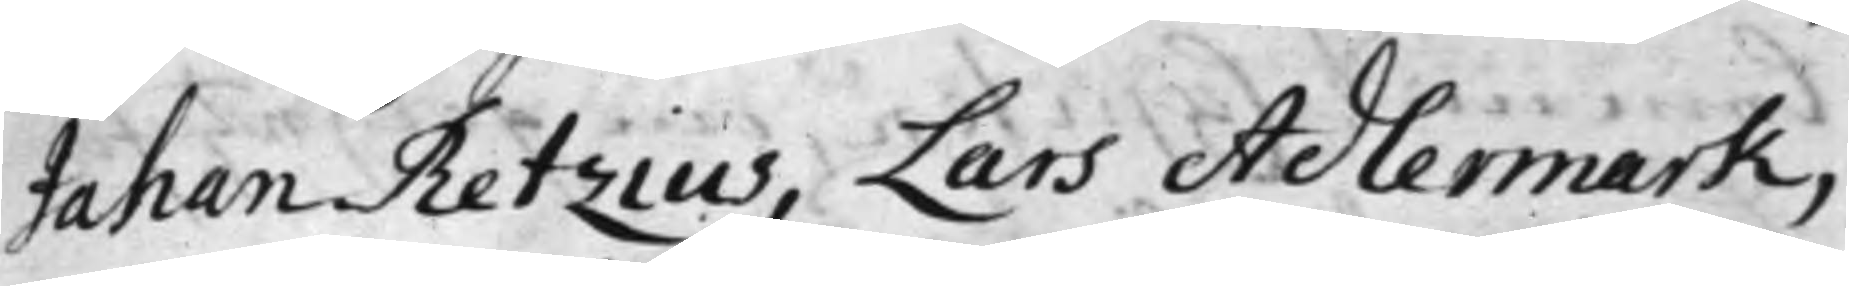Johan Retzius, Lars Adlermark,
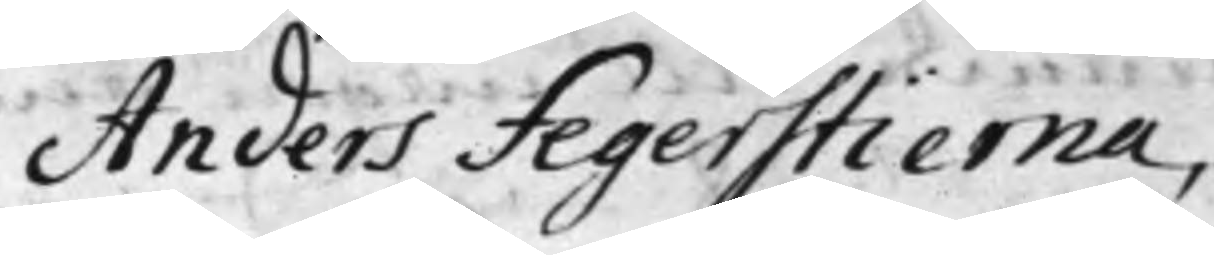Anders Fegerstierna,
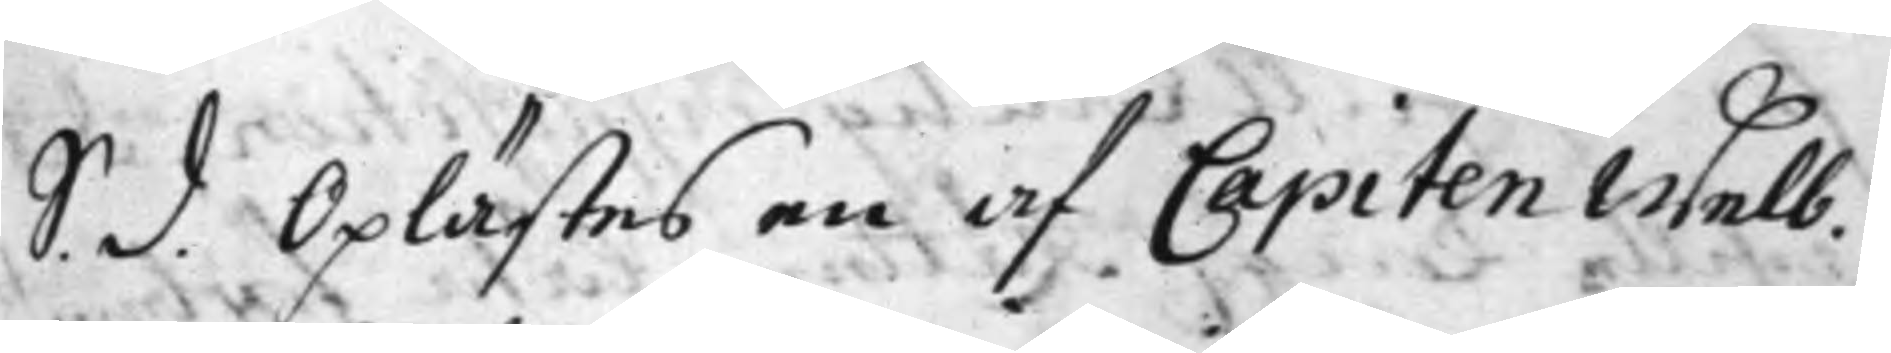S. d. Oplästes en af Capiten Welb.
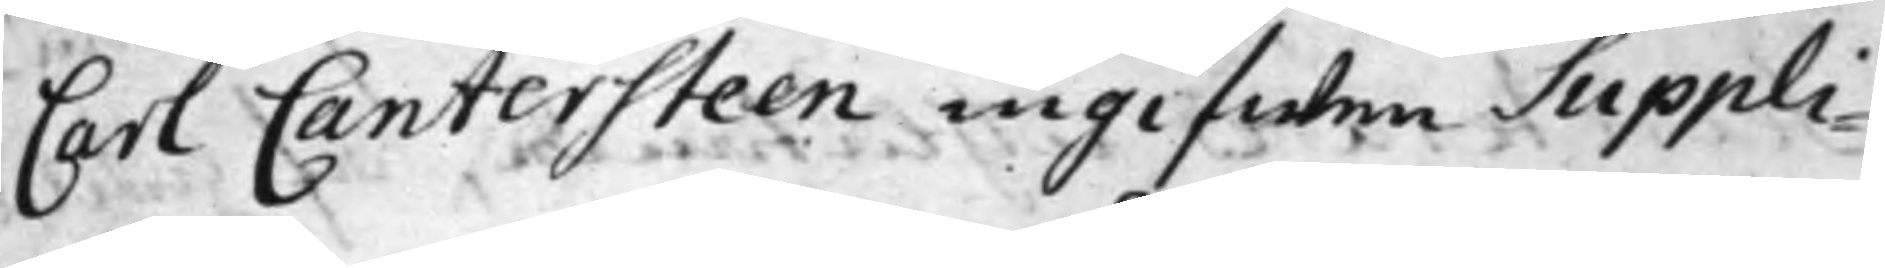Carl Cantersten ingifwen Suppli¬
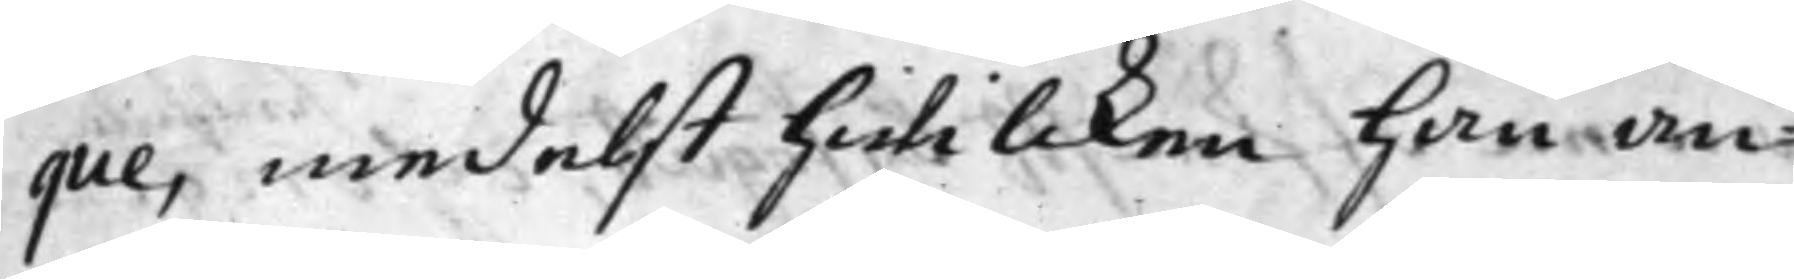que, medelst hwilcken han an¬
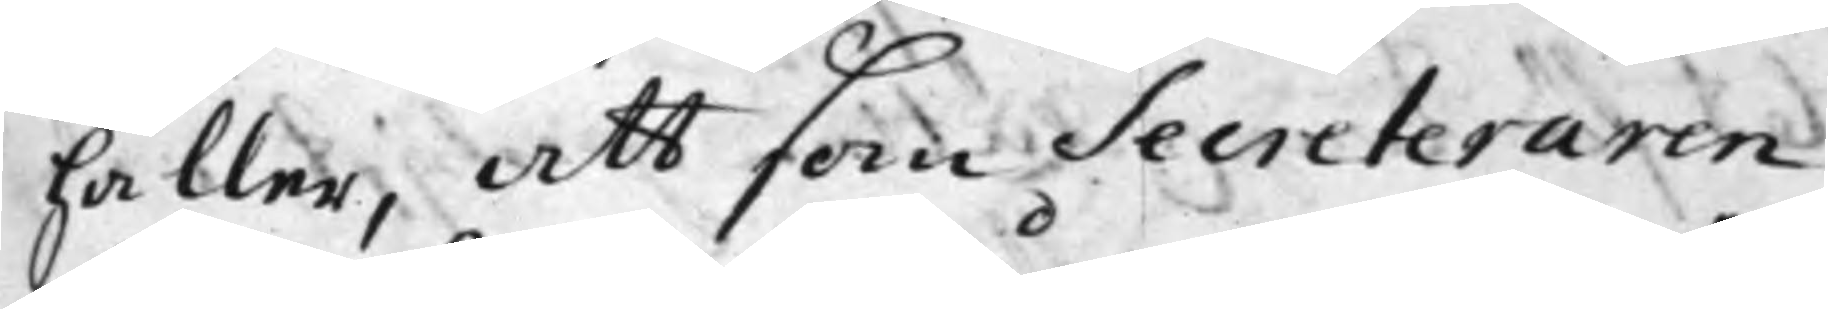håller, att som Secreteraren
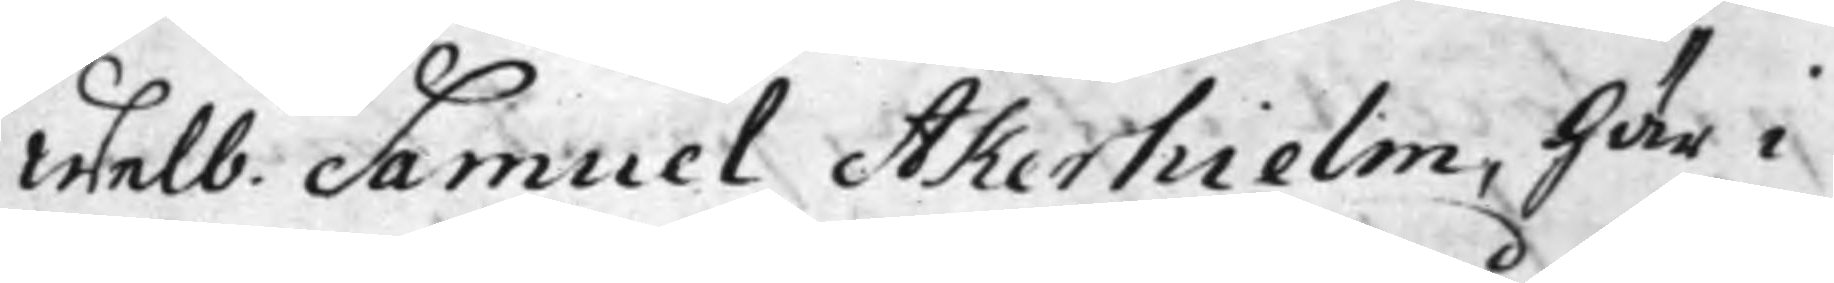Welb. Samuel Åkerhielm, Här i
